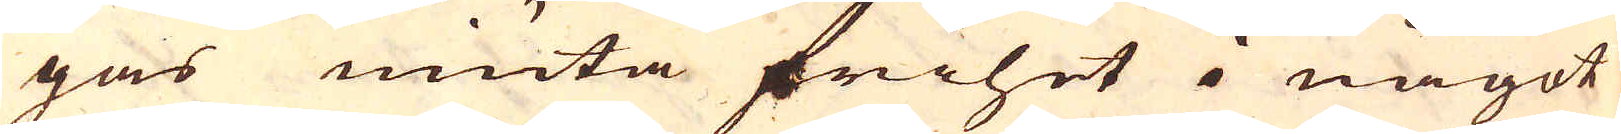gas niuta frihet i något
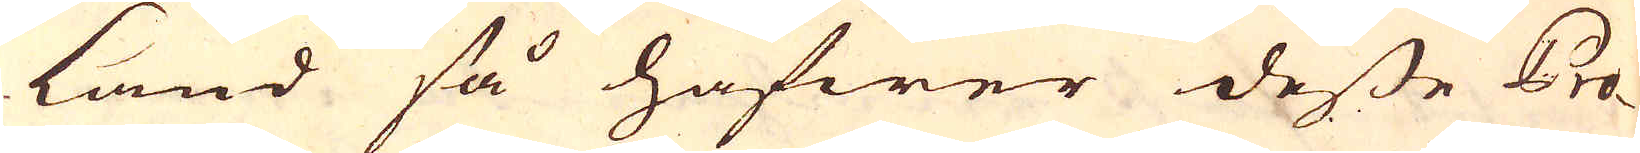land så hafwer desse Pro-
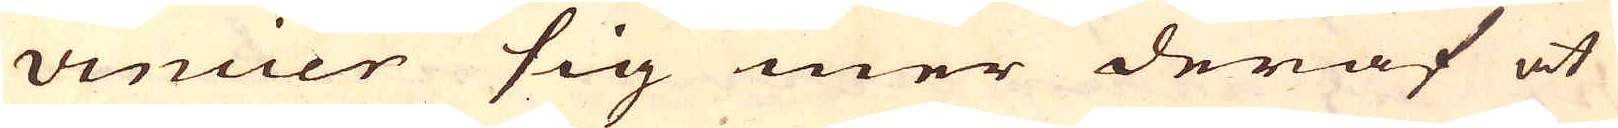vincier sig mer deraf at
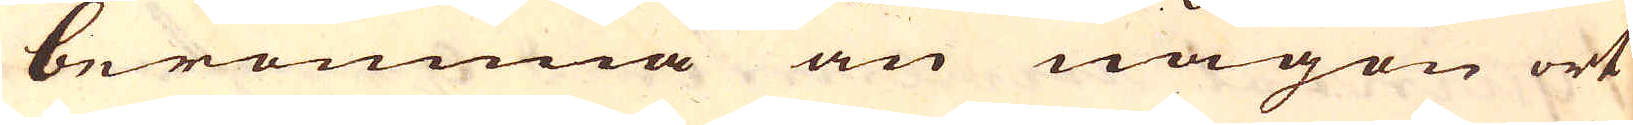berömma än någon ort
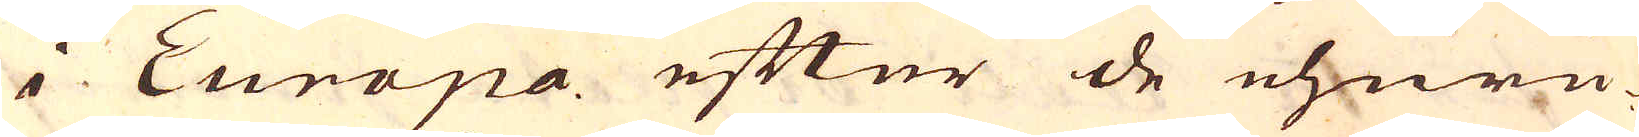i Europa efter de ehuru-
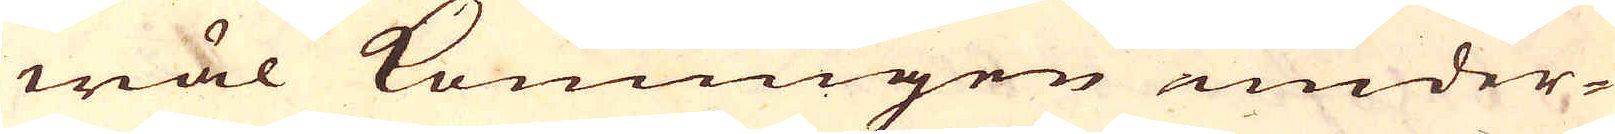wäl Konungen under-
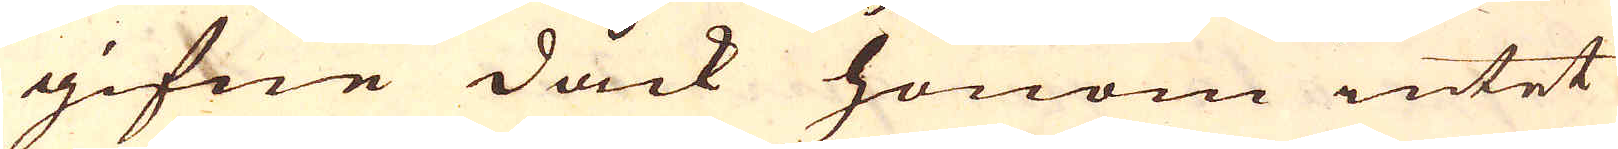gifne dåck honom intet
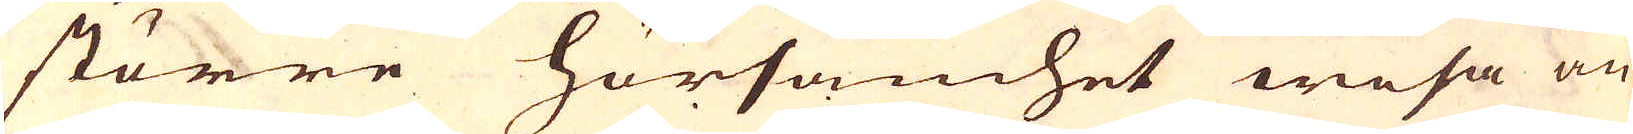större hörsamhet wisa än
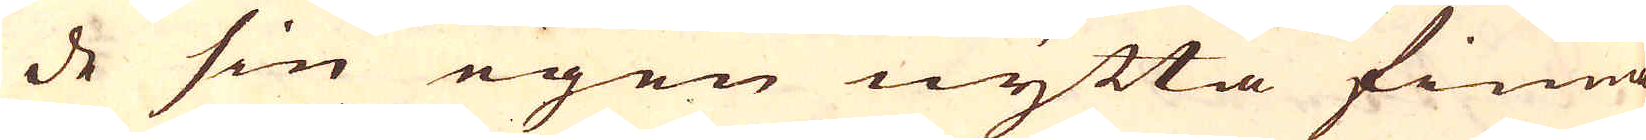de sin egen nytta finna
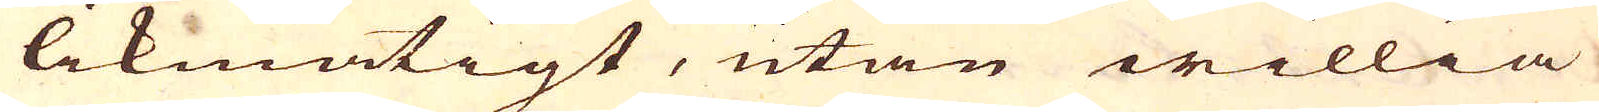likmätigt, utan willia
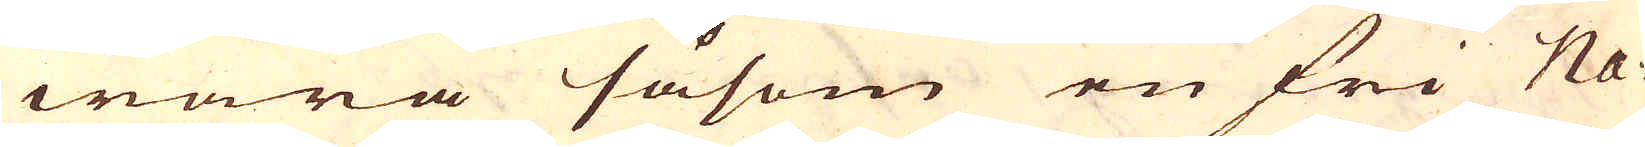wara såsom en fri Na-
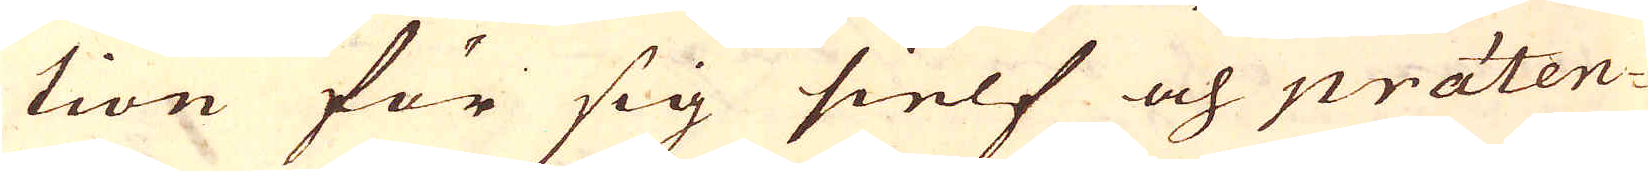tion för sig sielf och präten-
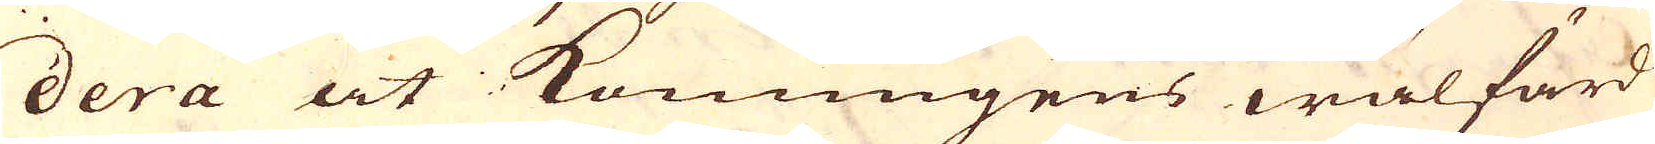dera at Konungens wälfärd
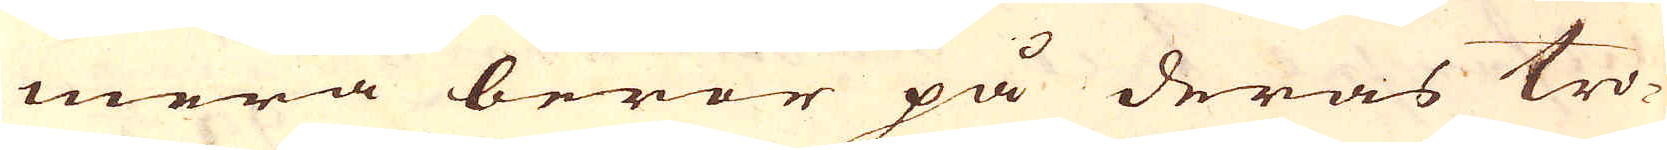mera beror på deras tro-
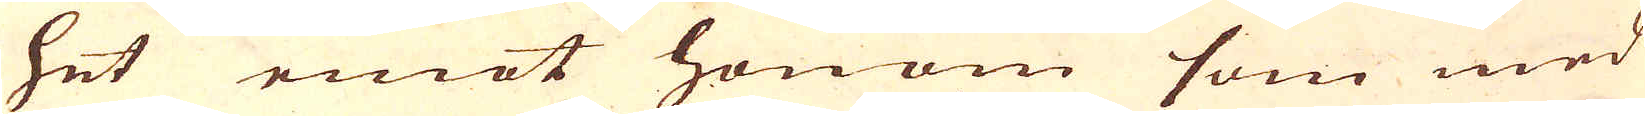het emot honom som med
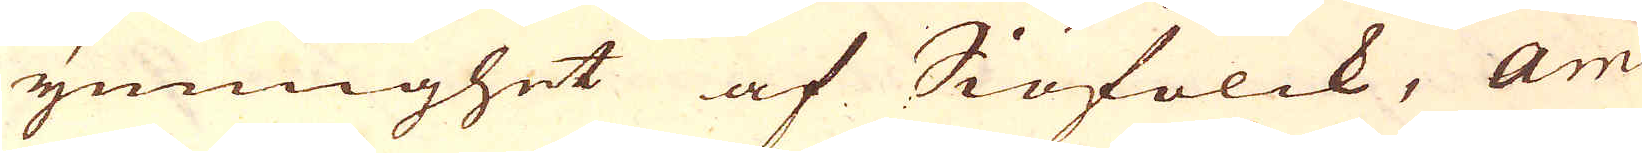ymnighet af Siöfolck, Am-
